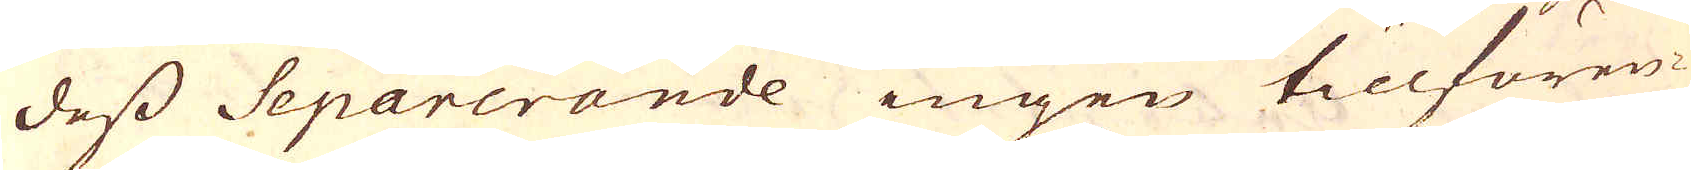dess Separerande ingen tillfören-
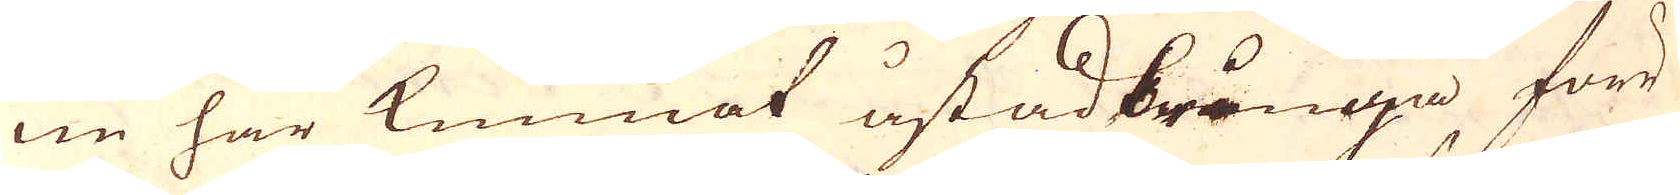ne har kunnat åstadbringa förr
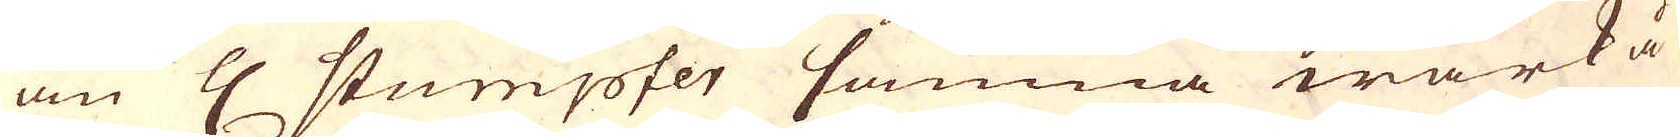än H: Stumpfer samma wärk å
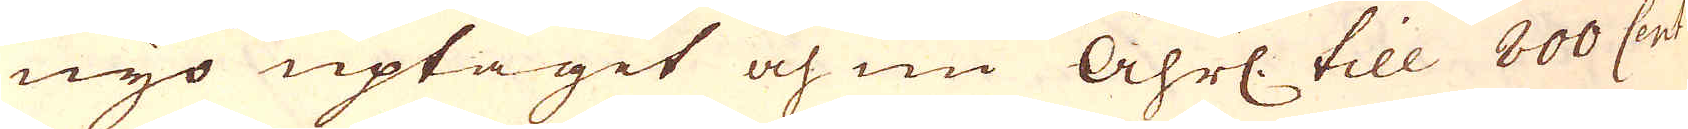nyo uptagit och nu Åhrl. till 800 Cont
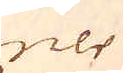ner
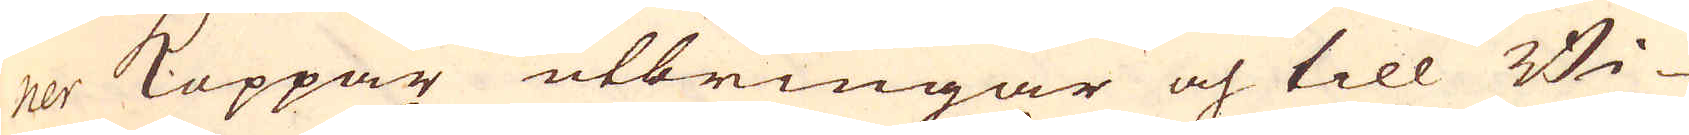ner Koppar utbringar och till Bi-
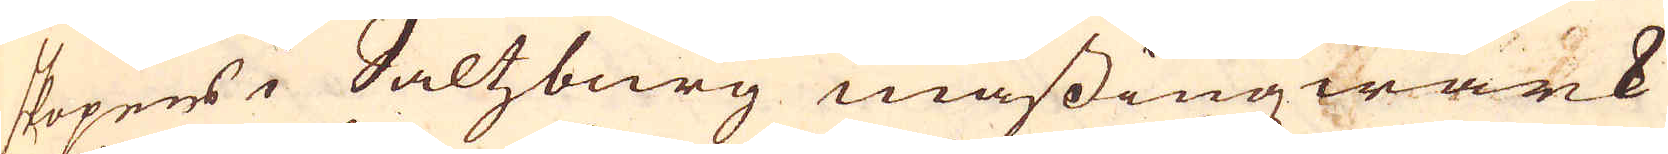skopens i Saltzburg mässingwärk
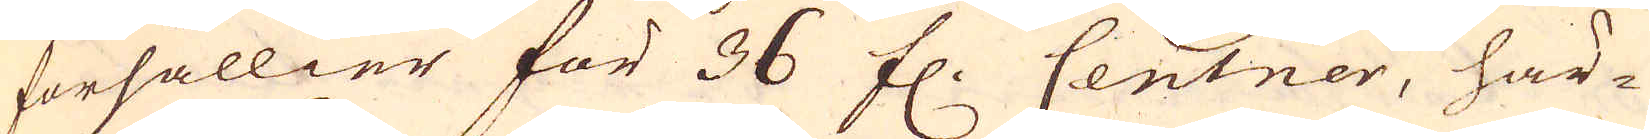försällier för 36 fl. Centner, här-
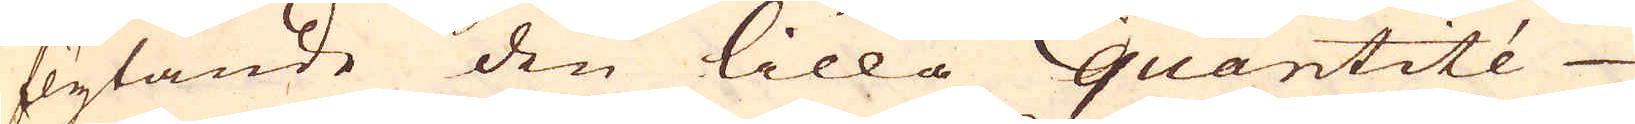flytande den lilla quantité
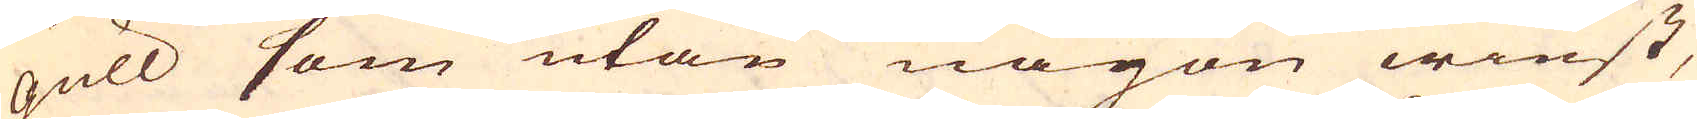gull som utan någon winst,
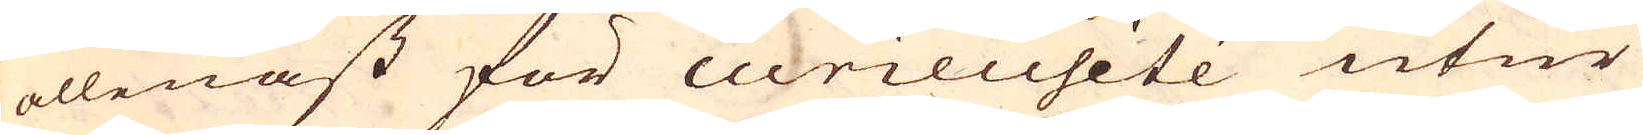allenast för curieusitée utur
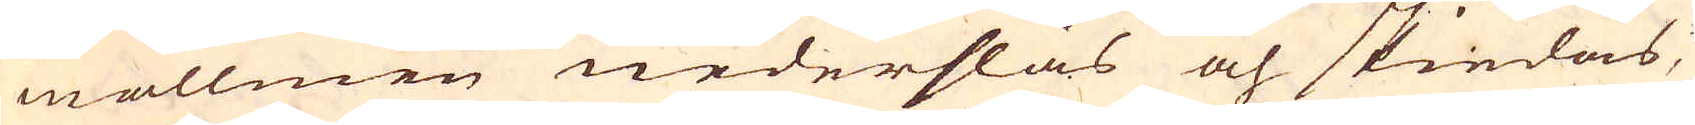mallmen nederslås och skiedas,
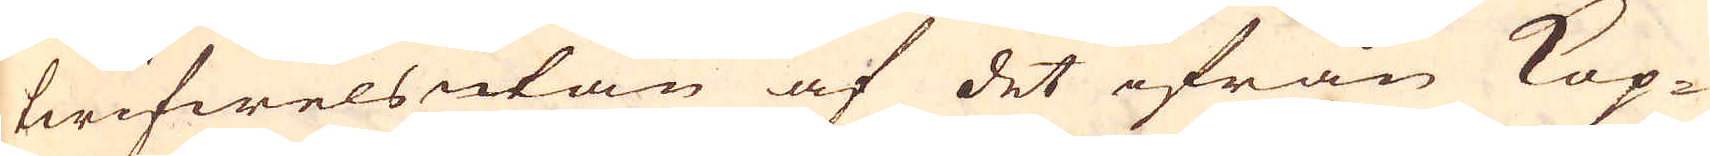twifwelsutan af det ifrån Kop-
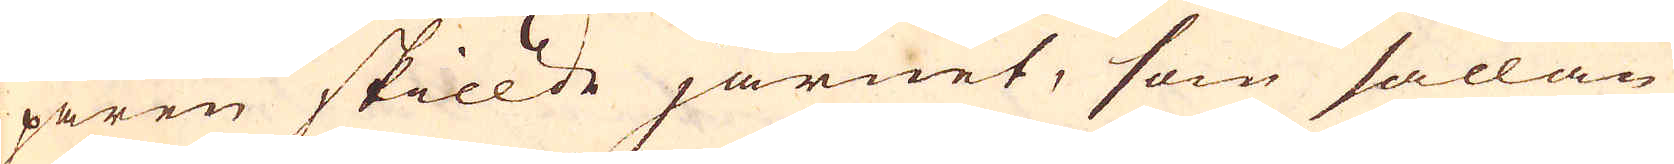paren skillde järnet, som sällan
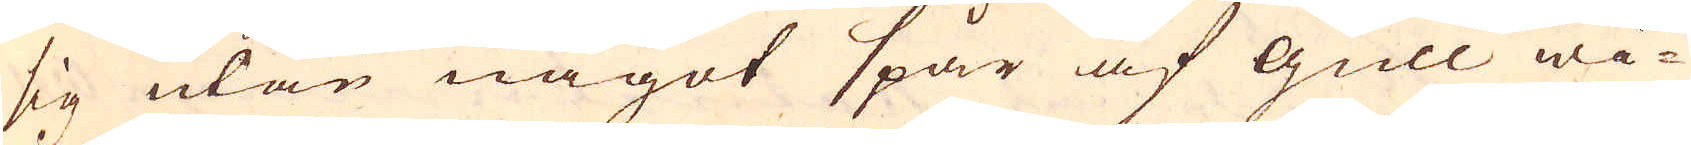sig utan något spår af gull wi-
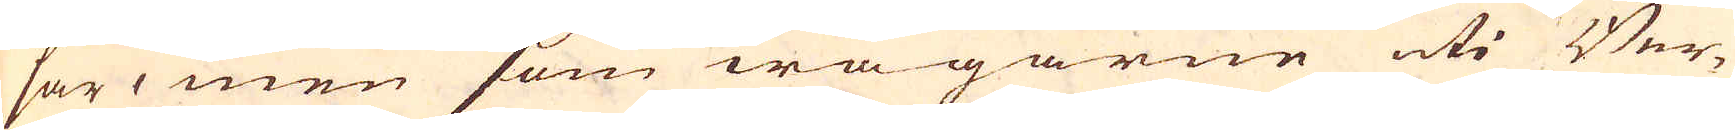sar, men som wägarne uti Ber-
